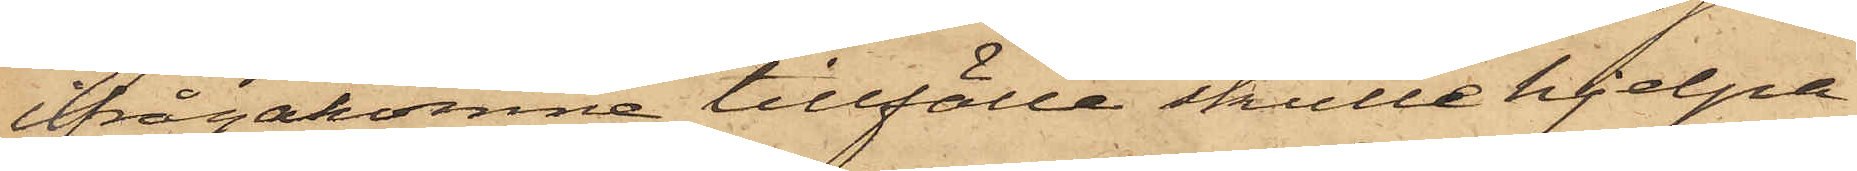ifrågakomne tillfälle skulle hjelpa
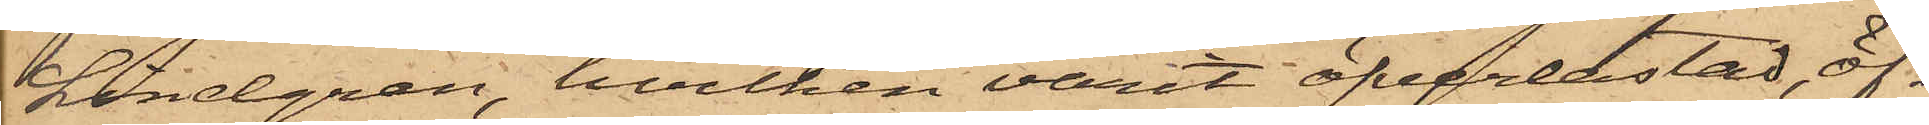Lindgren, hvilken varit öfverlastad, öf¬
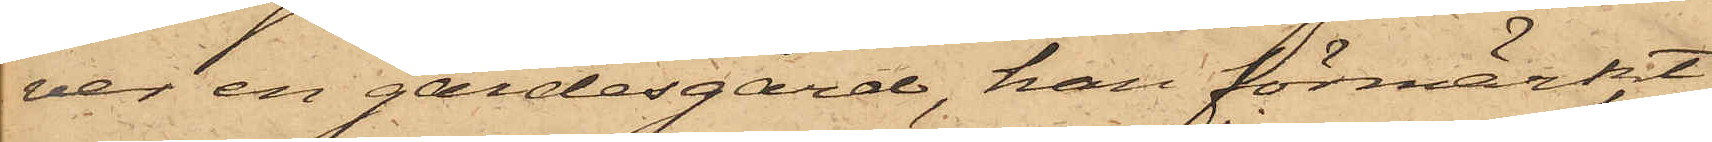ver en gärdesgård, han förmärkt
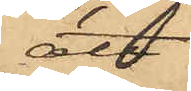att
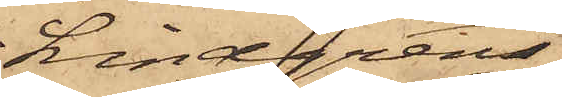Lindgren
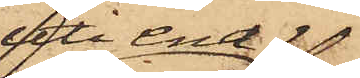uti ena
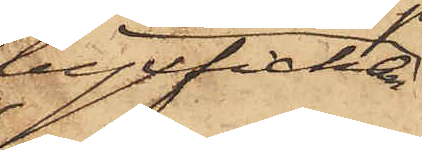byxfickan
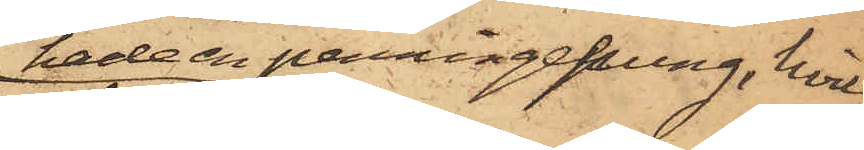hade en penningepung, hvil¬
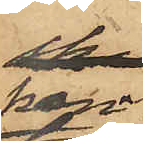ken
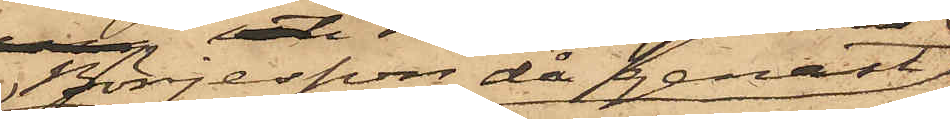Börjesson då genast
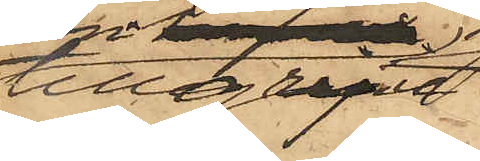tillgripit,
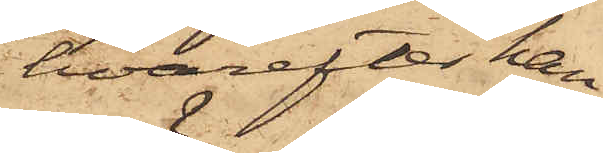hvarefter han
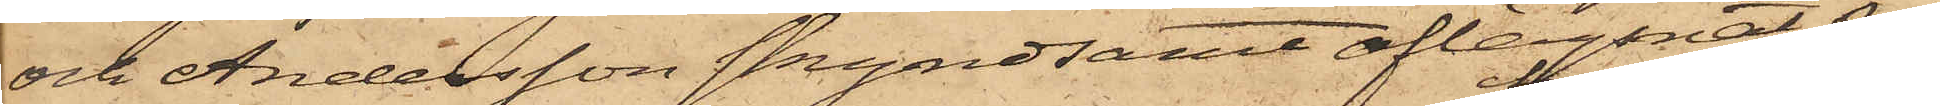och Andersson skyndsamt aflägsnat sig
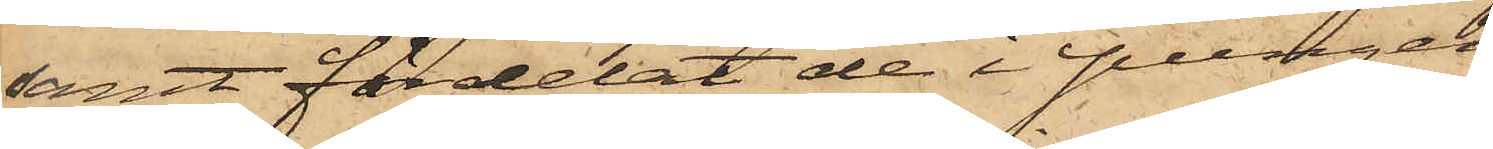samt fördelat de i pungen
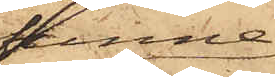funne
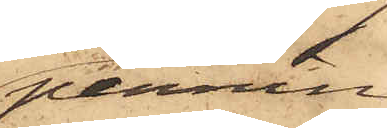pennin¬
